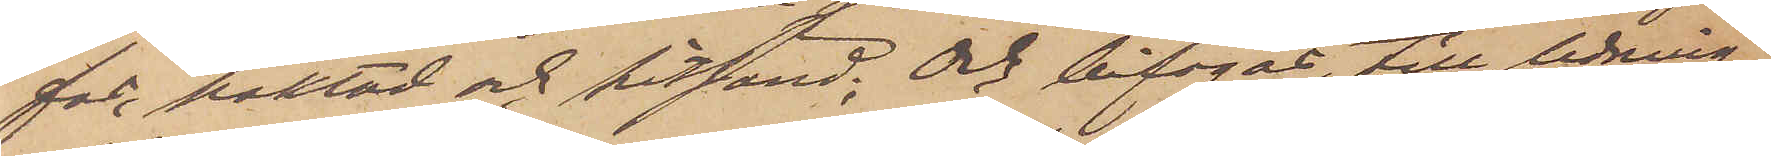fas, häktad och hitsänd; Och bifogas, till ledning
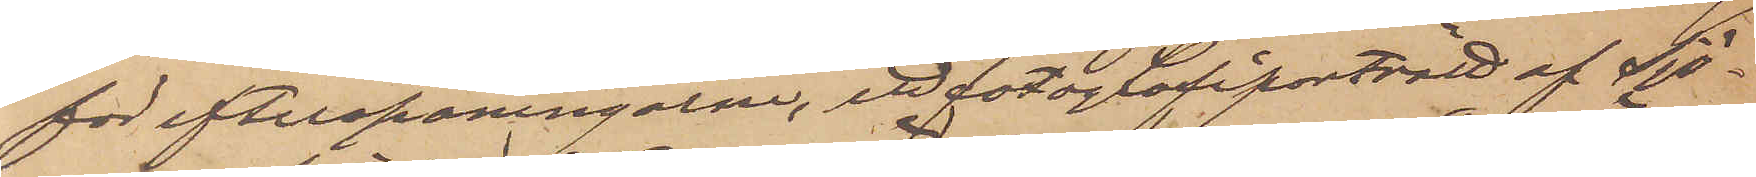för efterspaningarne, ett fotografiporträtt af Sjö¬
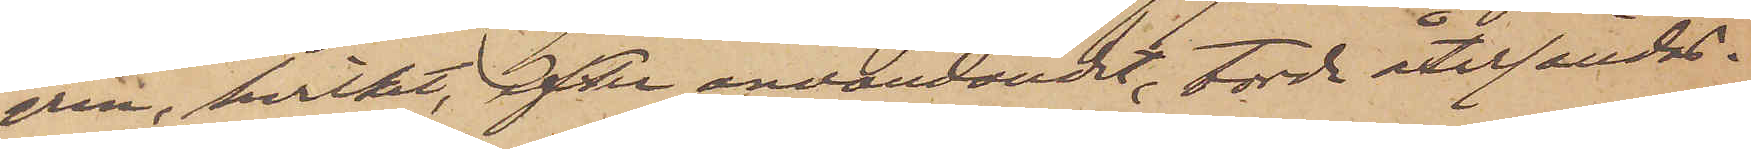gren, hvilket, efter användandet, torde återsändas
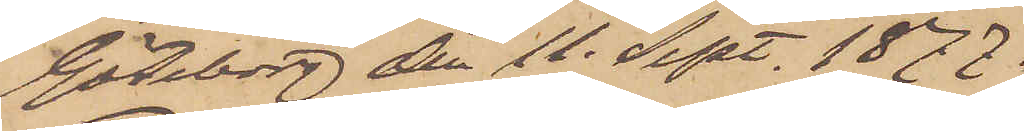Göteborg den 11. Sept. 1877.
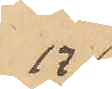17. 
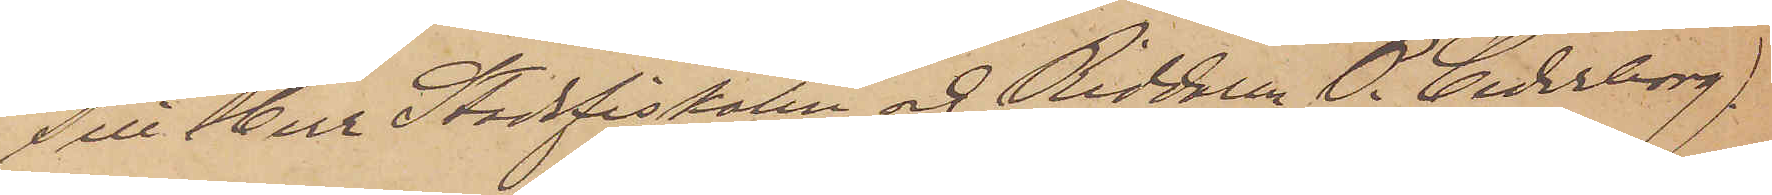Till Herr Stadsfiskalen och Riddaren P. Cederborg.
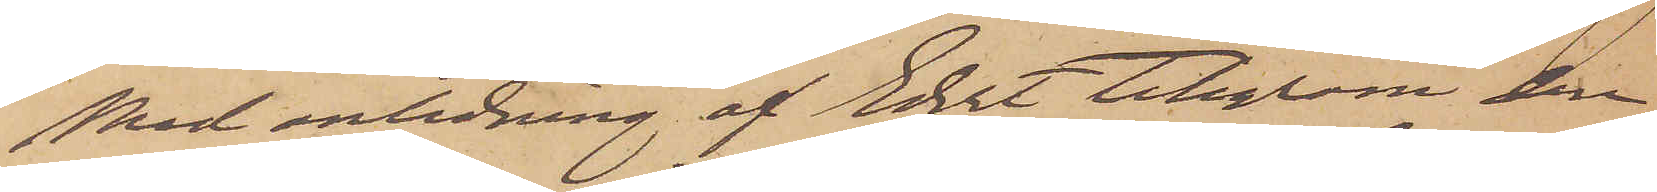Med anledning af Edert telegram den
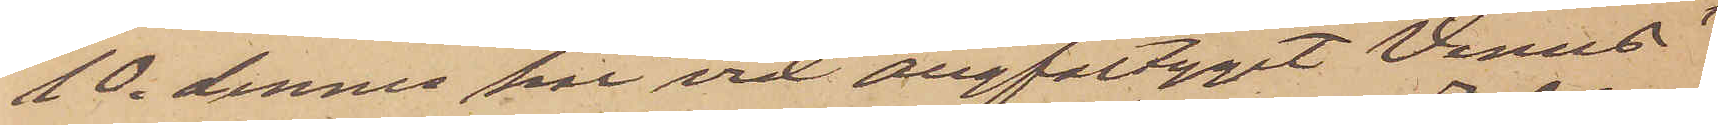10. dennes har vid ångfartyget Venus'
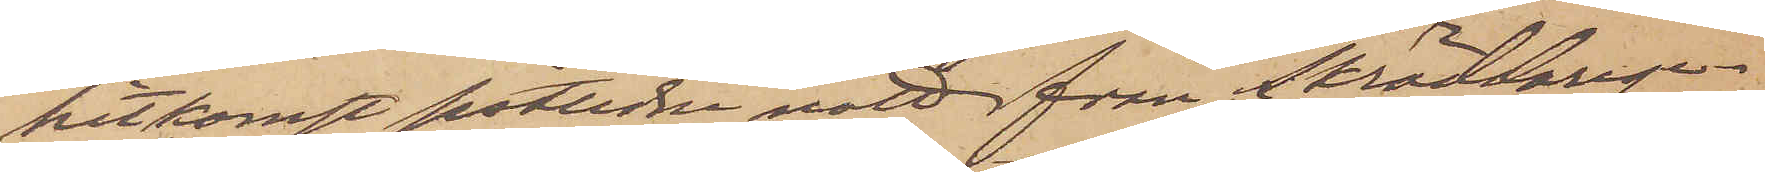hitkomst sistlidne natt från Skräddarege¬
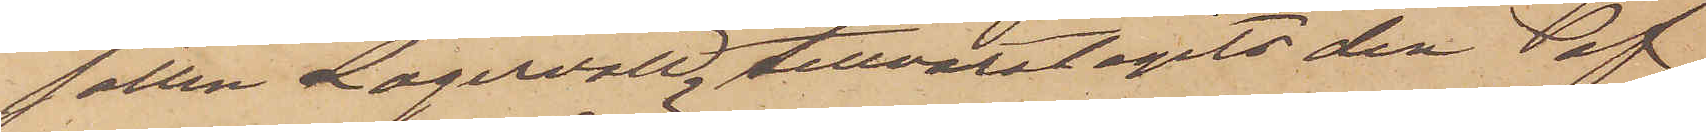sällen Lagervall, tillvaratagits den af
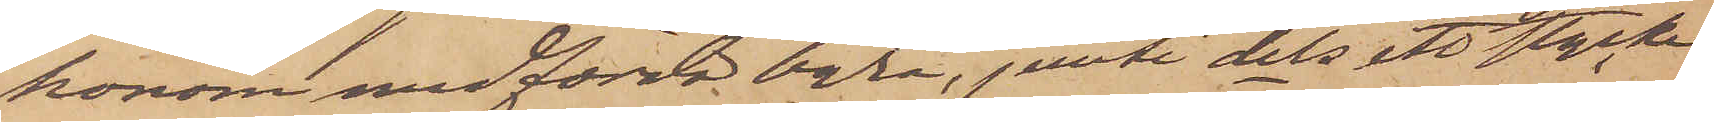honom medförda byrå, jemte dels ett stycke
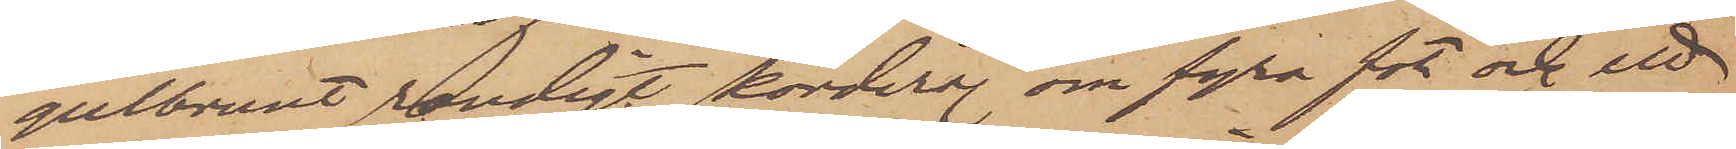gulbrunt randigt korderoj om fyra fot och ett
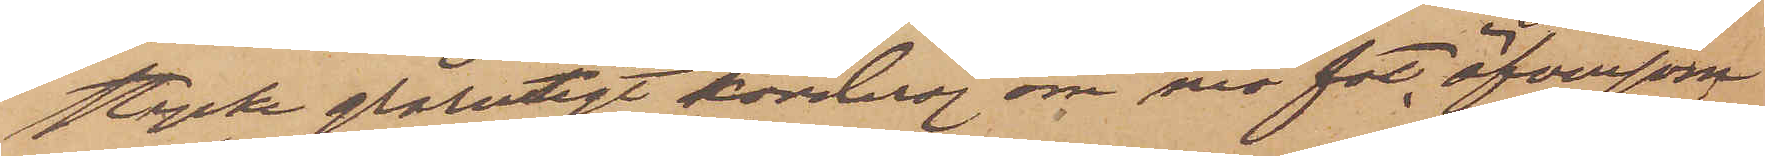stycke grårutigt korderoj om nio fot, äfvensom
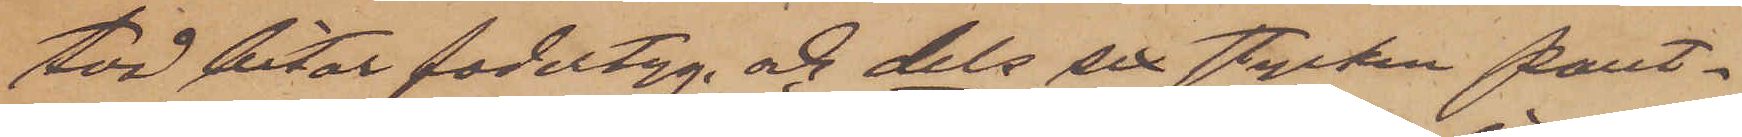två bitar fodertyg och dels sex stycken pant¬
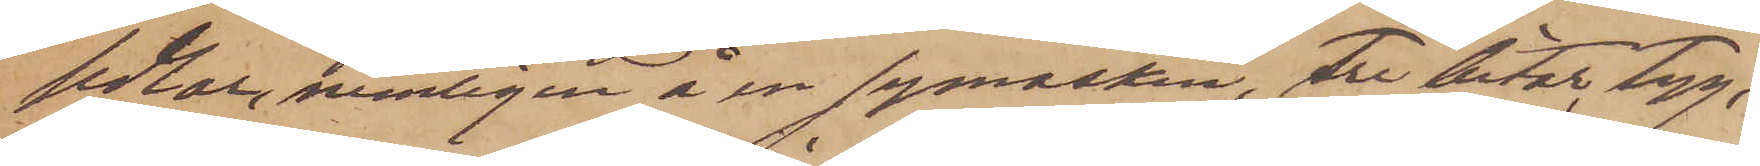sedlar, nemligen å en symaskin, tre bitar tyg,
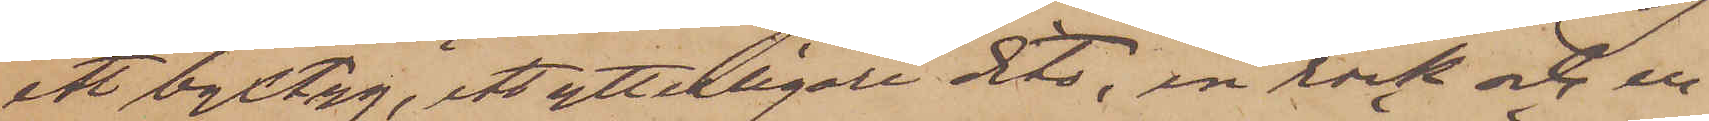ett byxtyg, ett ytterligare dito, en rock och en
